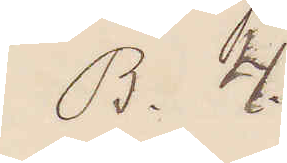B. 4.
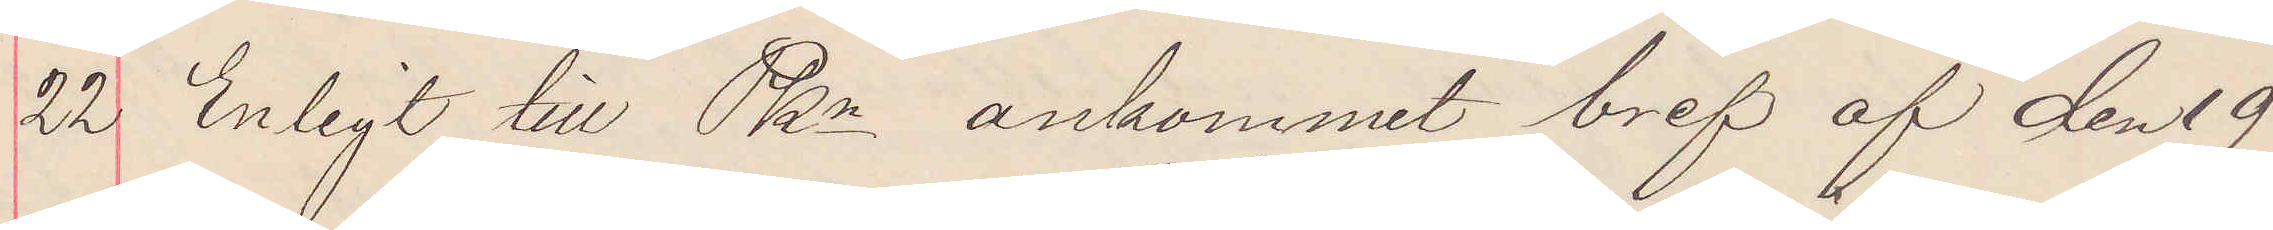22 Enligt till PKn ankommet bref af den 19
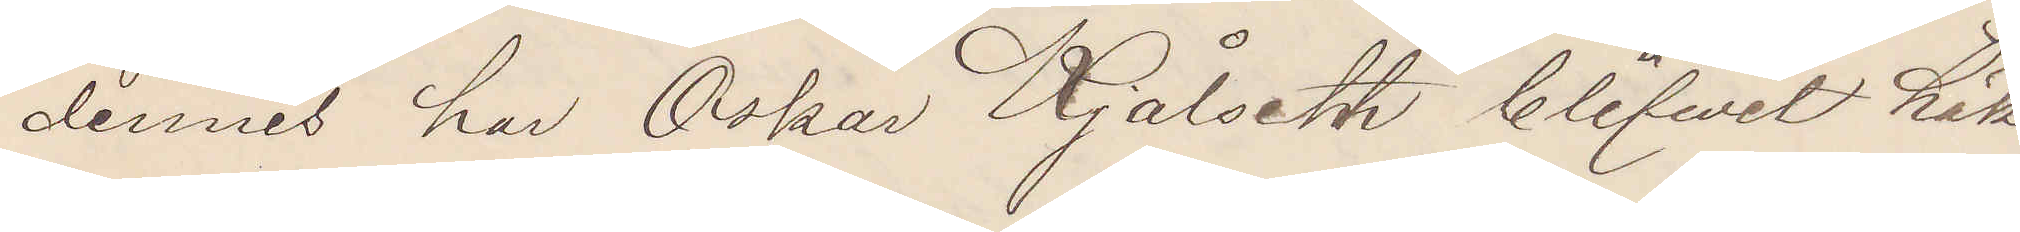dennes har Oskar Kjålseth blifwit häk¬
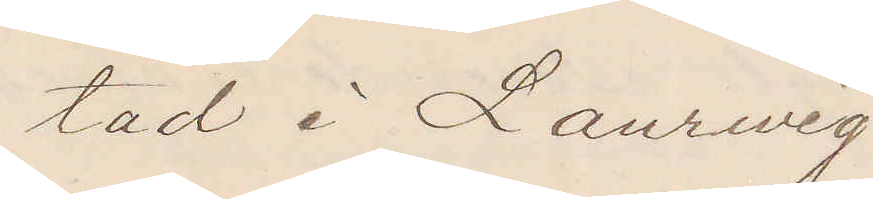tad i Laurwig.
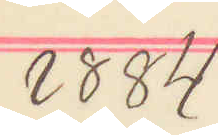1884
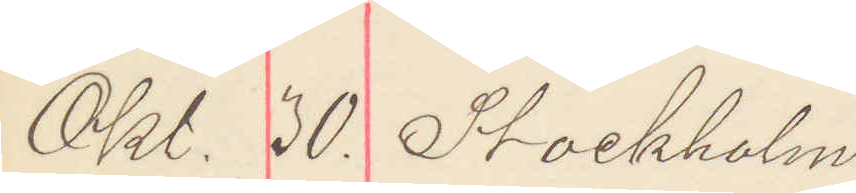Okt. 30. Stockholm
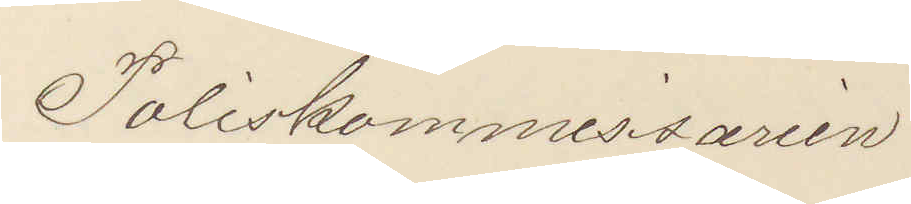Poliskommissarien
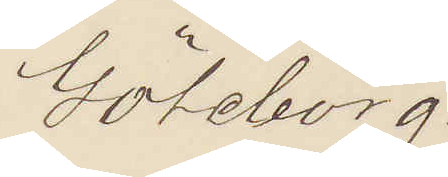Göteborg.
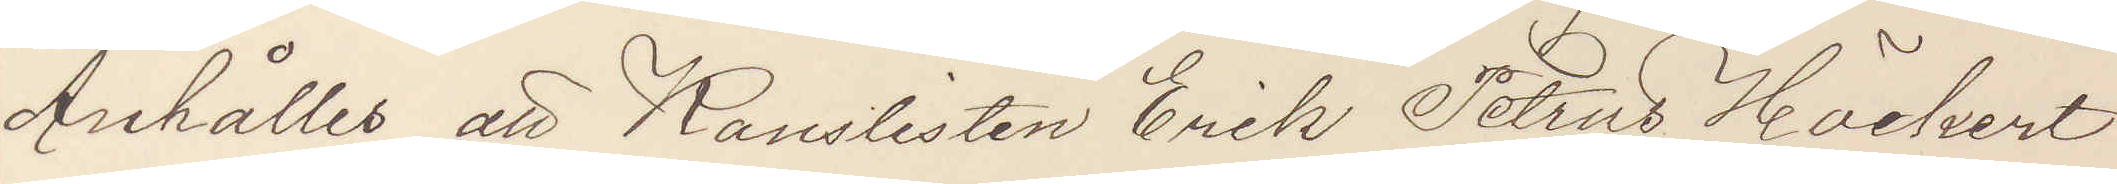Anhåller att Kanslisten Erik Petrus Höckert
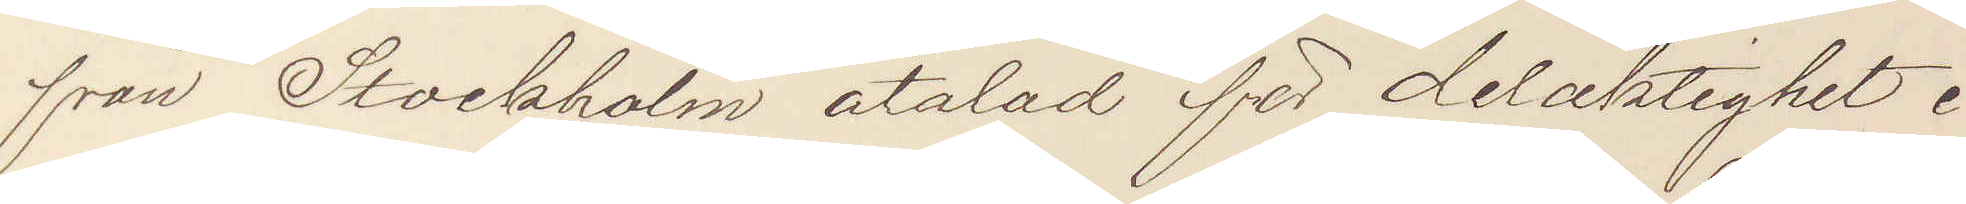från Stockholm åtalad för delaktighet i
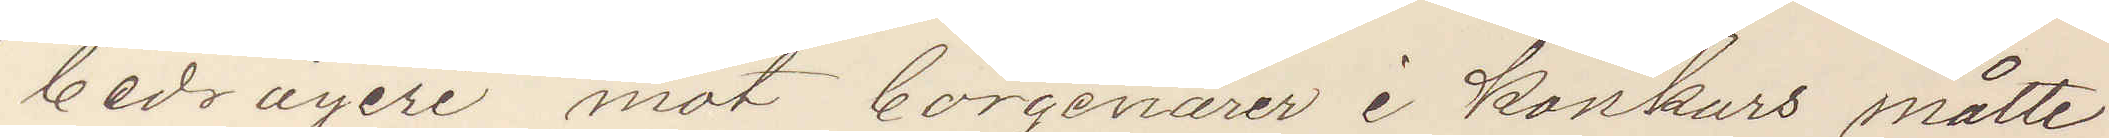bedrägeri mot borgenärer i Konkurs måtte
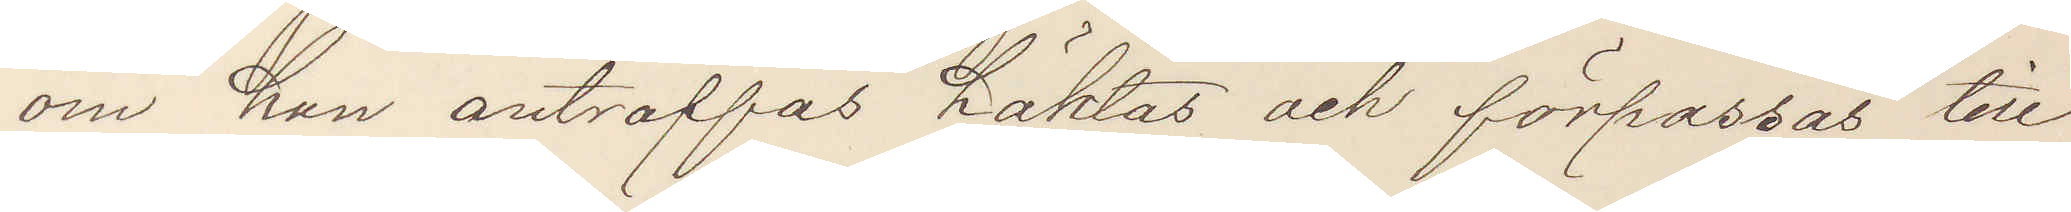om han anträffas häktas och förpassas till
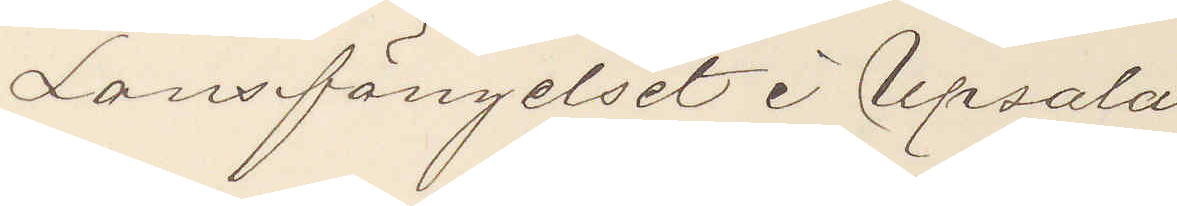Lansfängelset i Upsala.
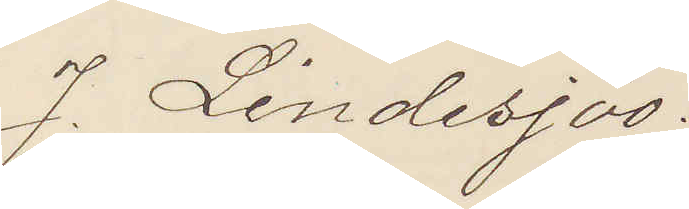J. Lindesjöö.
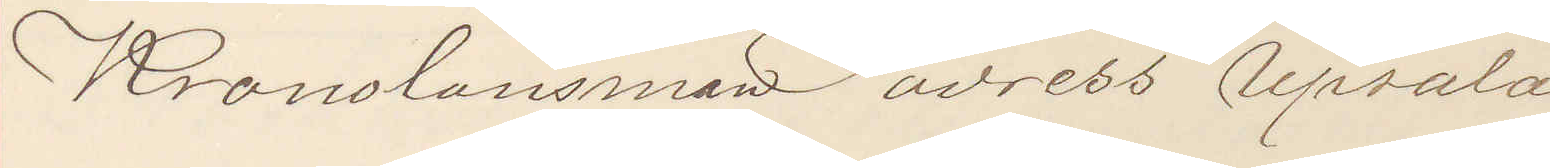Kronolänsman adress Upsala.
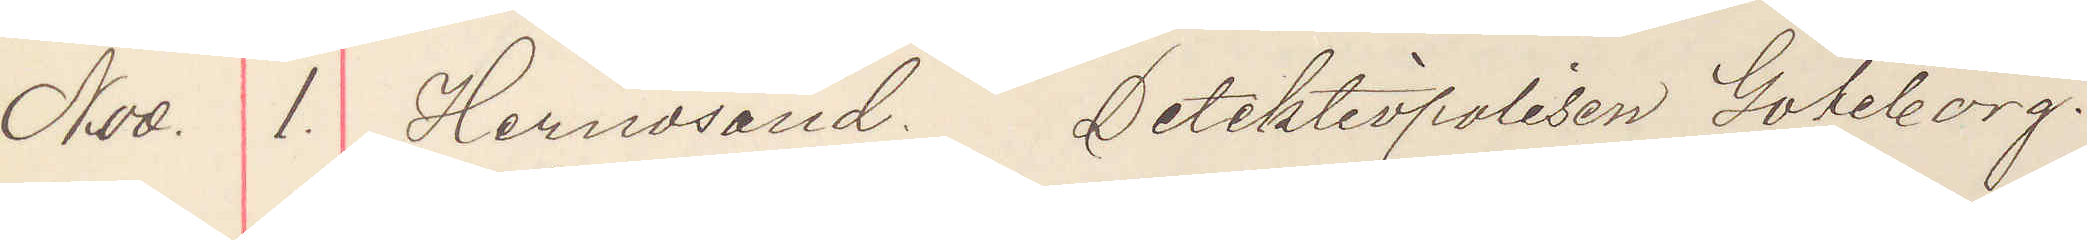Nov. 1. Hernösand. Detektivpolisen Göteborg.
